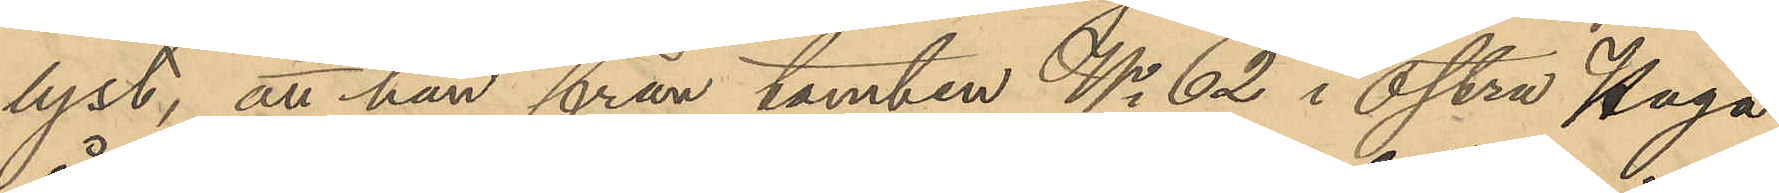lyst, att han från tomten No 62 i Östra Haga
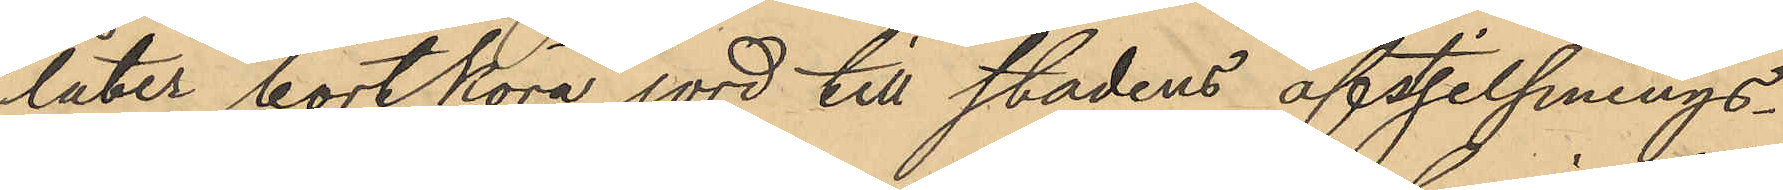låter bortköra jord till stadens afstjelpnings¬
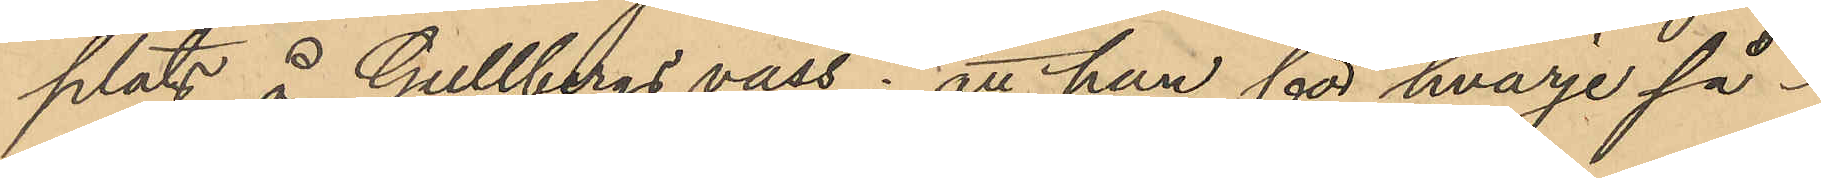plats å Gullbergs vass; att han för hvarje så¬
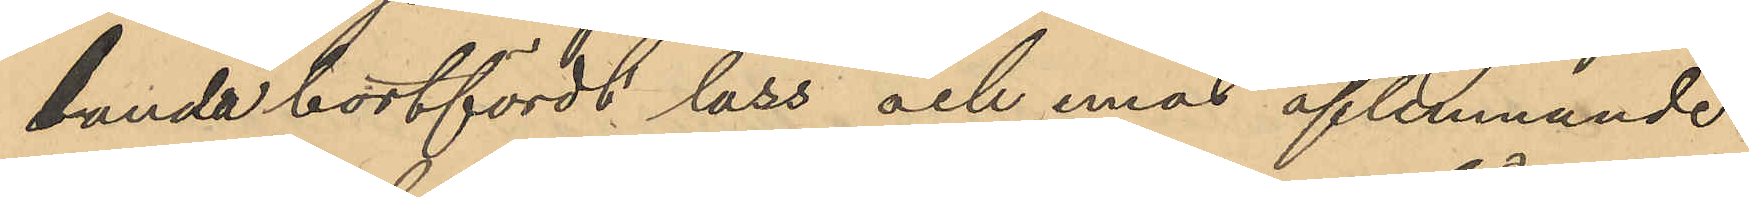lunda bortfördt lass och emot aflemnande
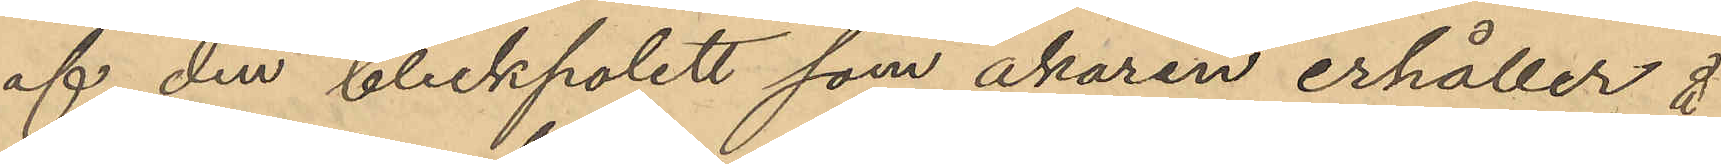af den bleckpolett som åkaren erhåller å
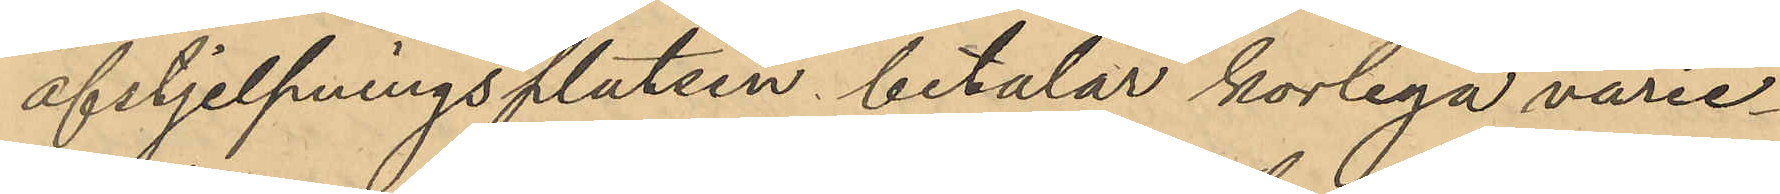afstjelpningsplatsen betalar korlega varie¬
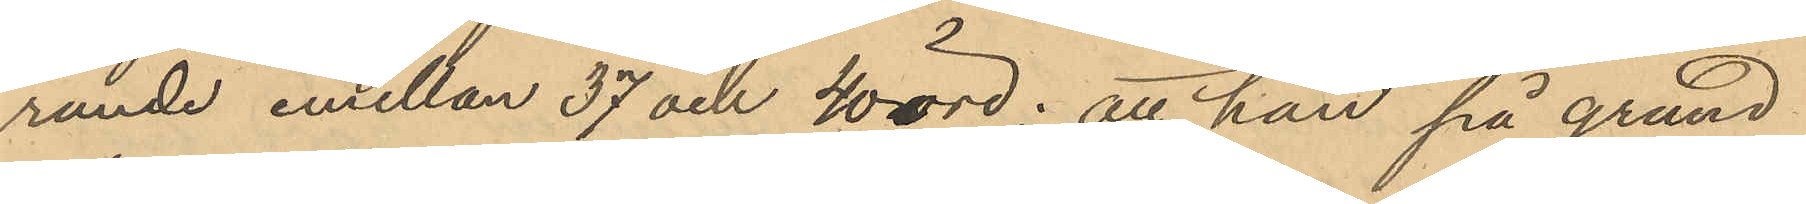rande emellan 37 och 40 öre; att han på grund
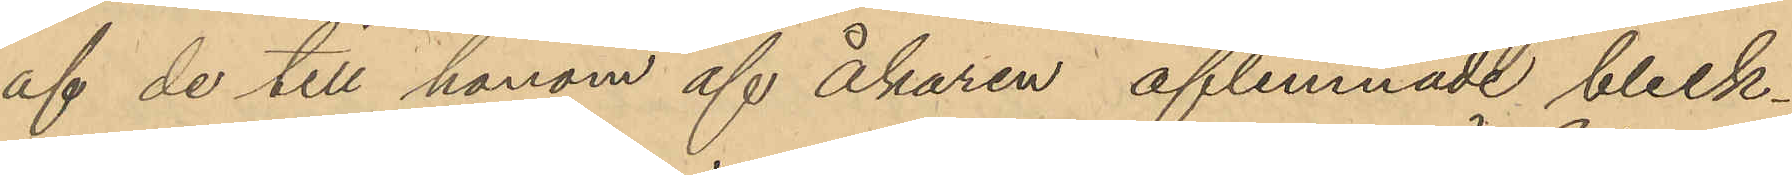af de till honom af åkaren aflemnade bleck¬
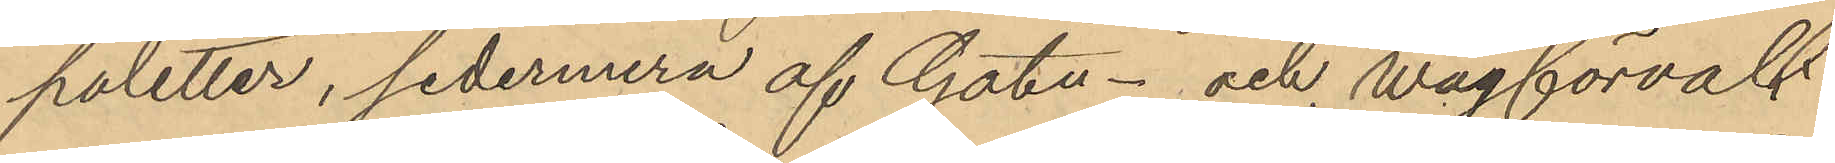poletter, sedermera af Gatu- och wägförvalt¬
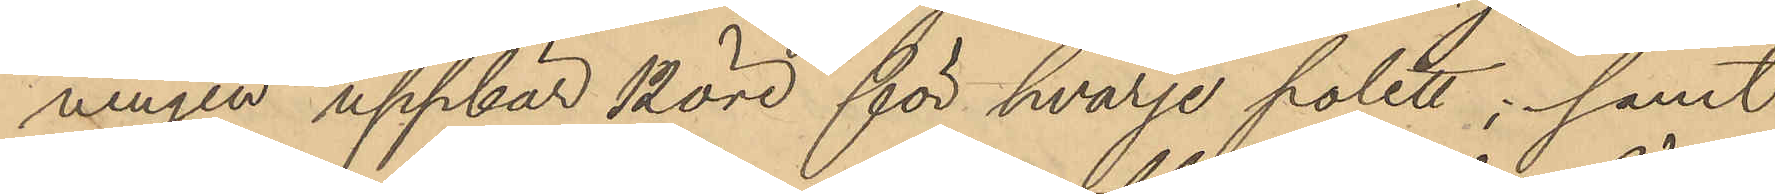ningen uppbär 12 öre för hvarje polett; samt
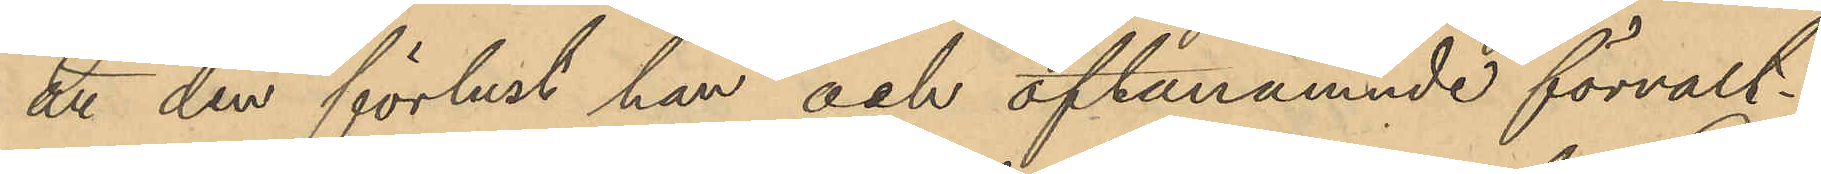att den förlust han och oftanämnde förvalt¬
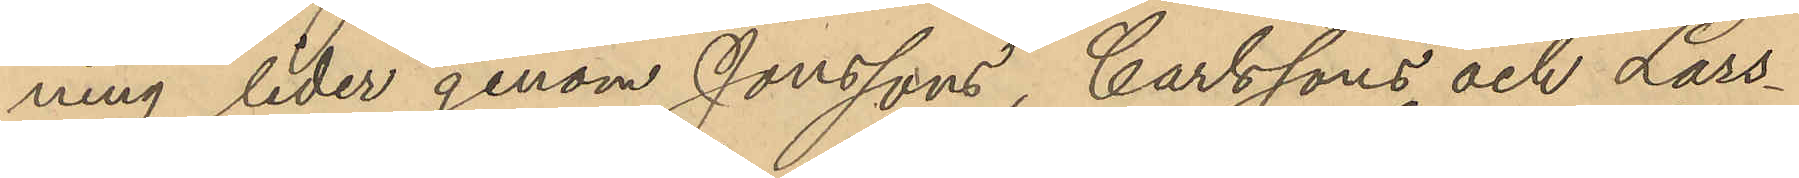ning lider genom Jonssons, Carlssons och Lars¬
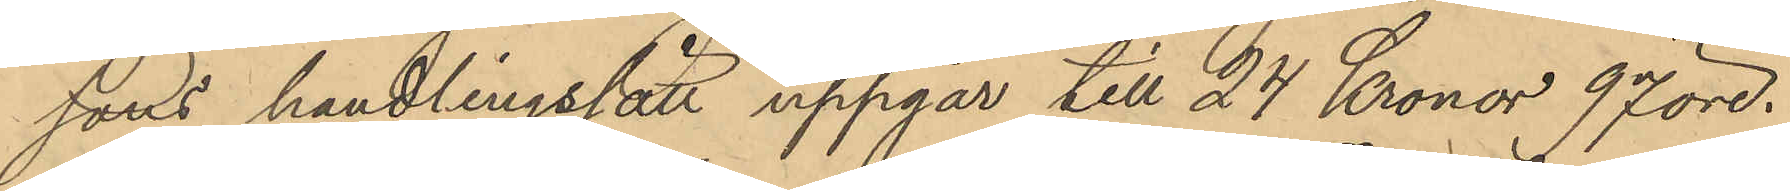sons handlingssätt uppgår till 24 Kronor 97 öre.
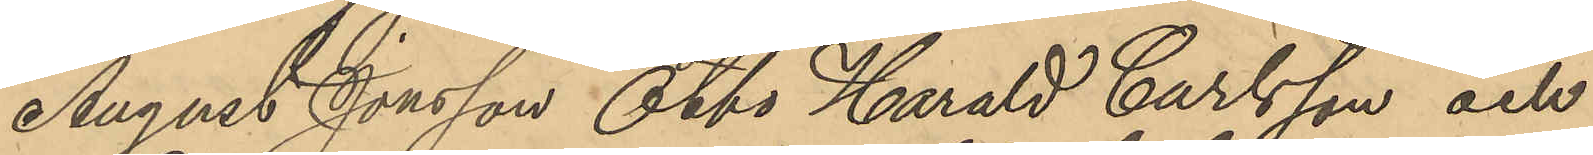August Jonsson Otto Harald Carlsson och
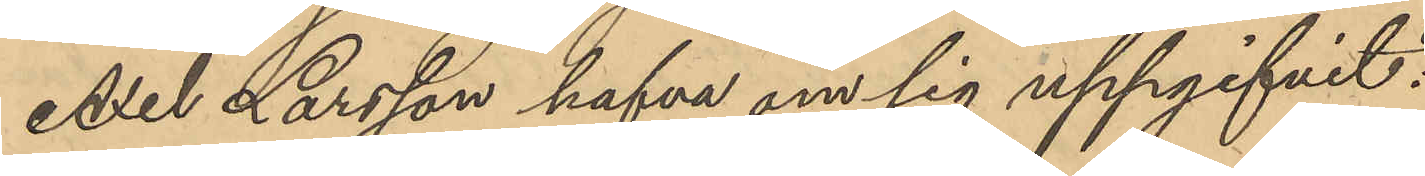Axel Larsson hafva om sig uppgifvit:
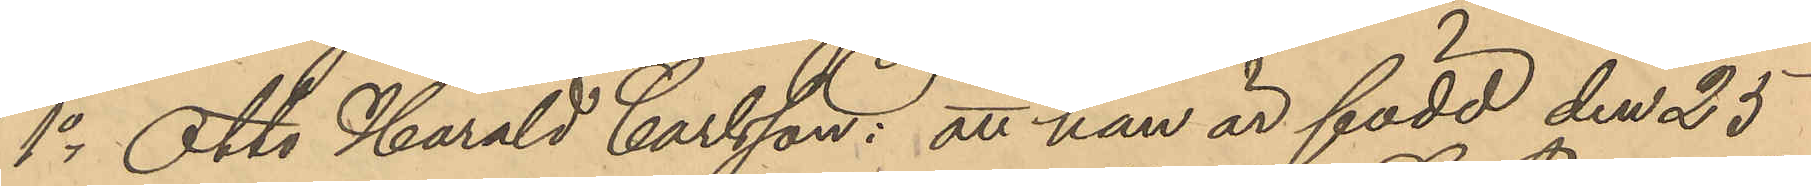1o Otto Harald Carlsson: att han är född den 25
